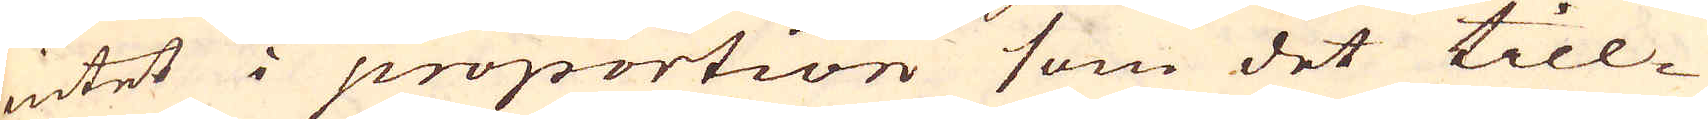intet i proportion som det till-
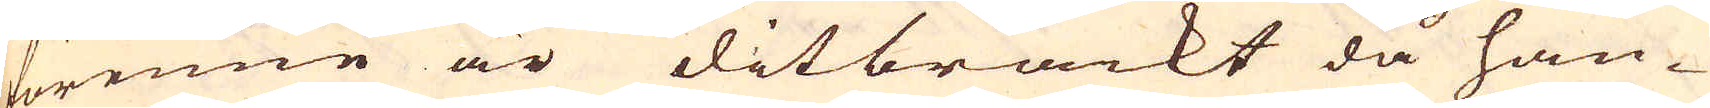förenne är ditbräckt då han-
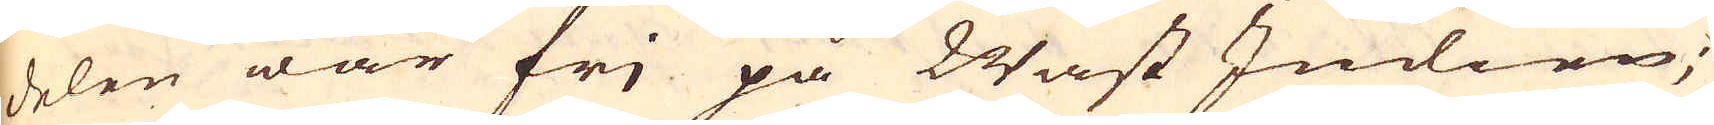delen war fri på Wäst Indien;
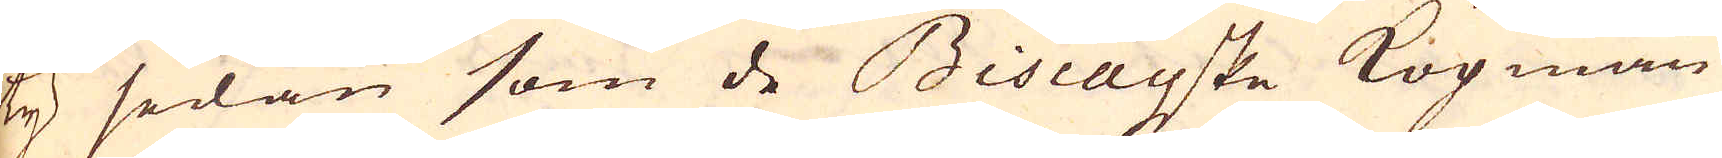ty sedan som de Biscayske Köpmän-
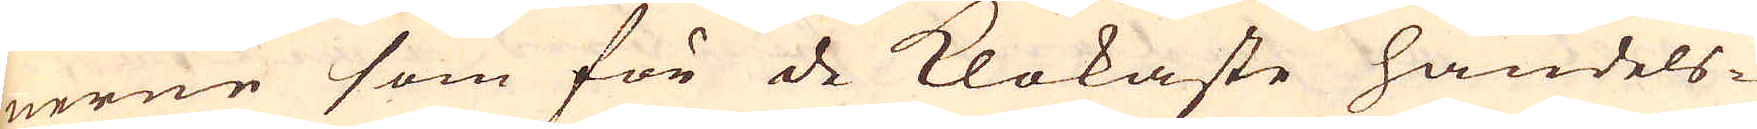nerne som för de klokaste handels-
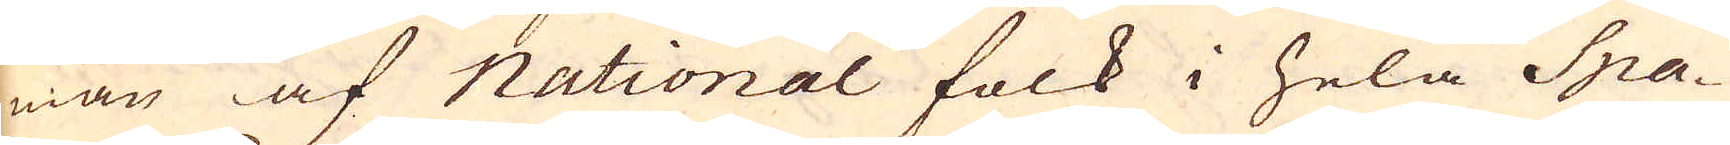män af National folk i hela Spa-
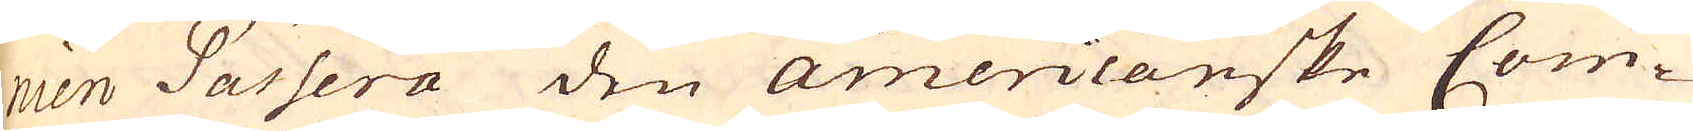nien Passera den Americanske Com-
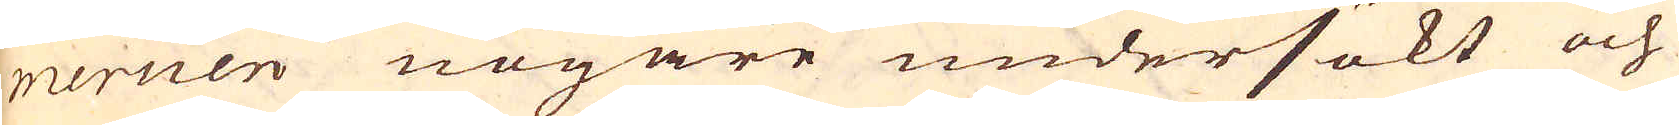mercien nogare undersökt och
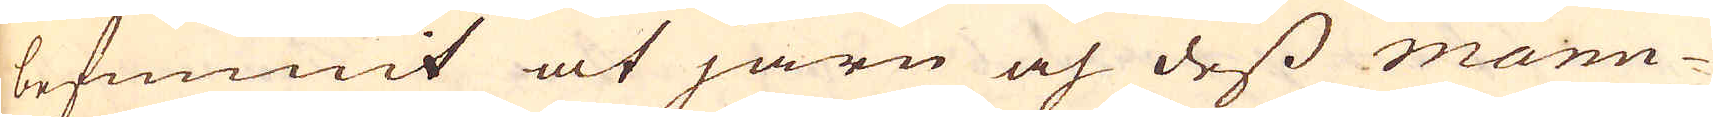befunnit at järn och dess manu-
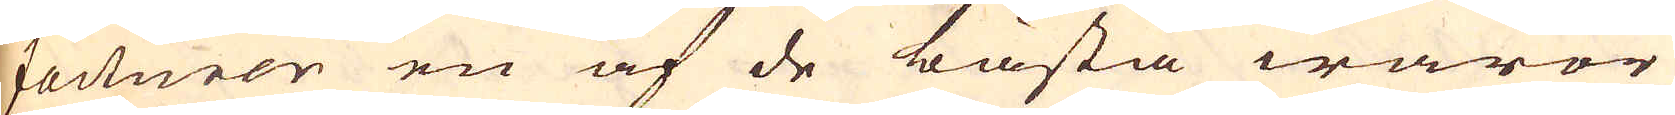facturer en af de bästa waror
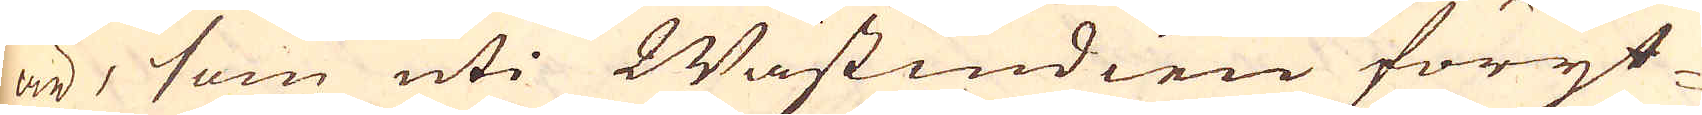är, som uti Wastindien föryt-
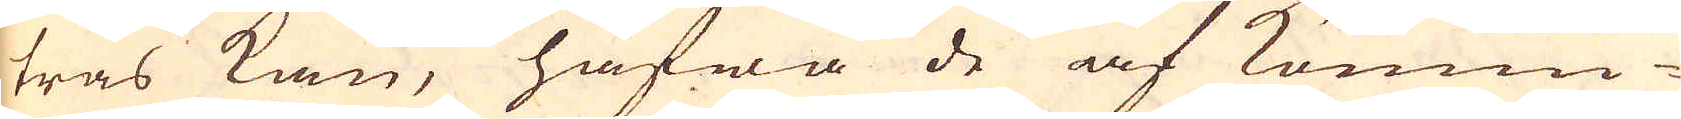tras kan, hafwa de af konun-
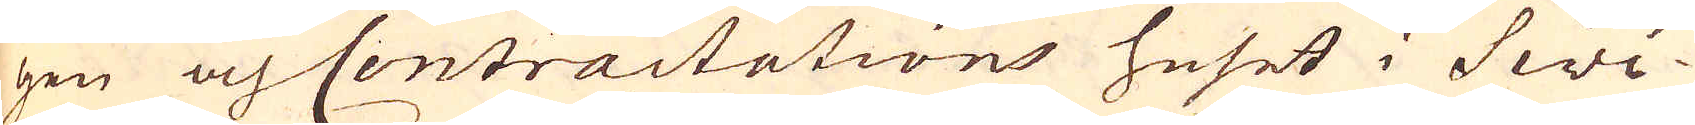gen och Centractations huset i Siwi-
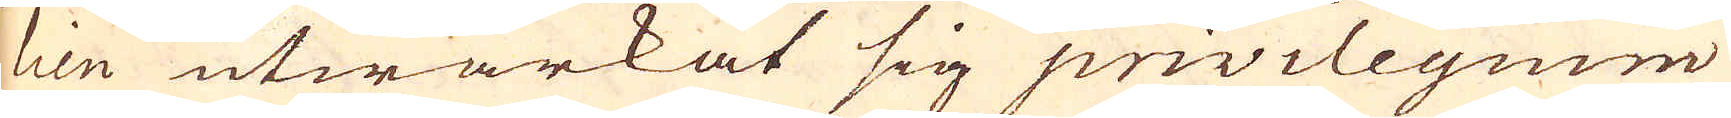lien utwärkat sig privilegium
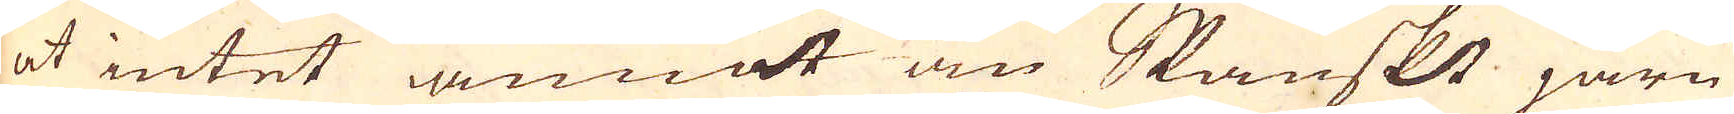at intet annat än Spanskt järn
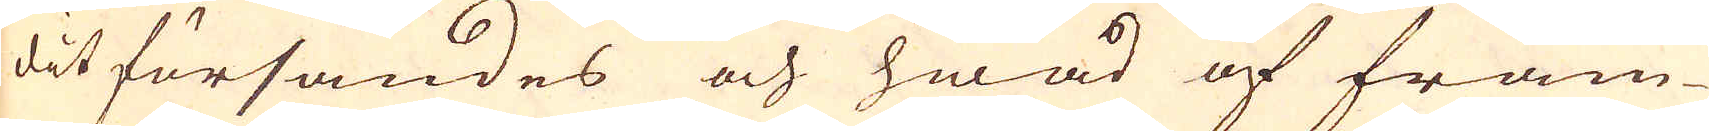dit försändes och hwad af främ-
